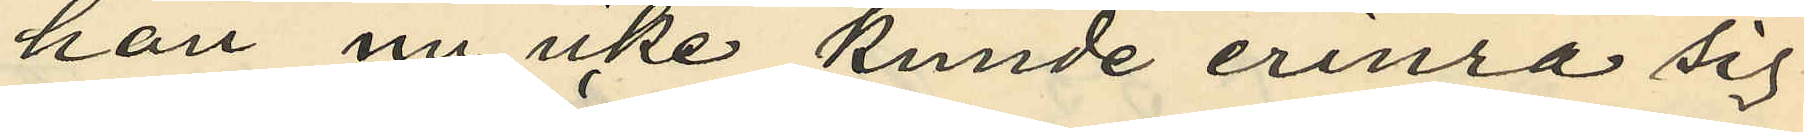han nu icke kunde erinra sig
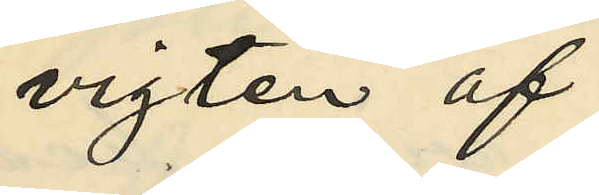vigten af
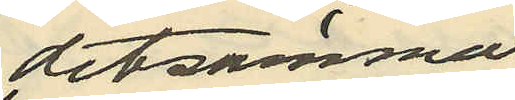detsamma
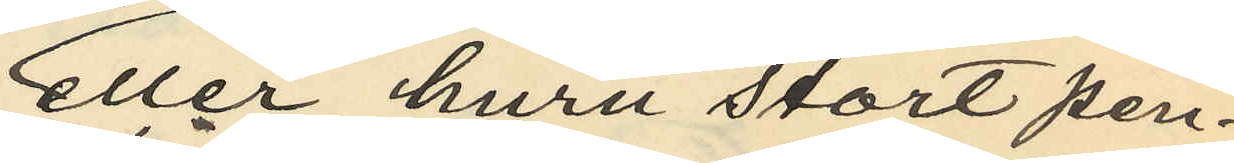eller huru stort pen¬
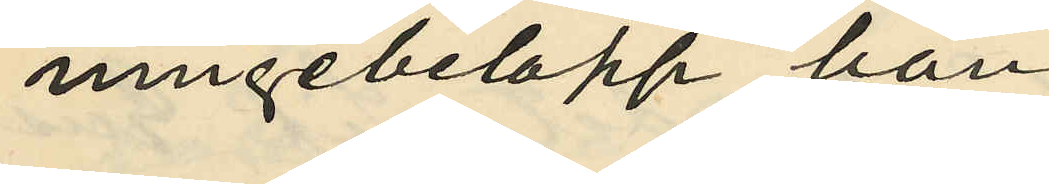ningebelopp han
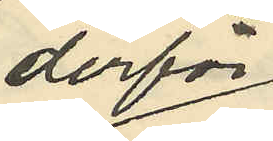derför
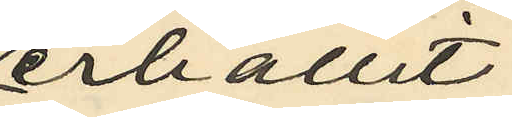erhållit;
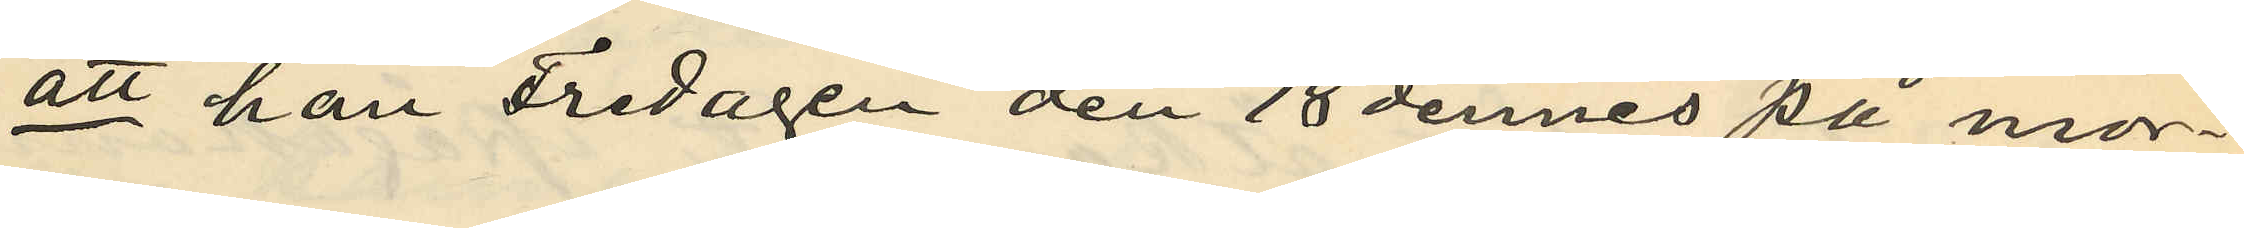att han Fredagen den 18 dennes på mor¬
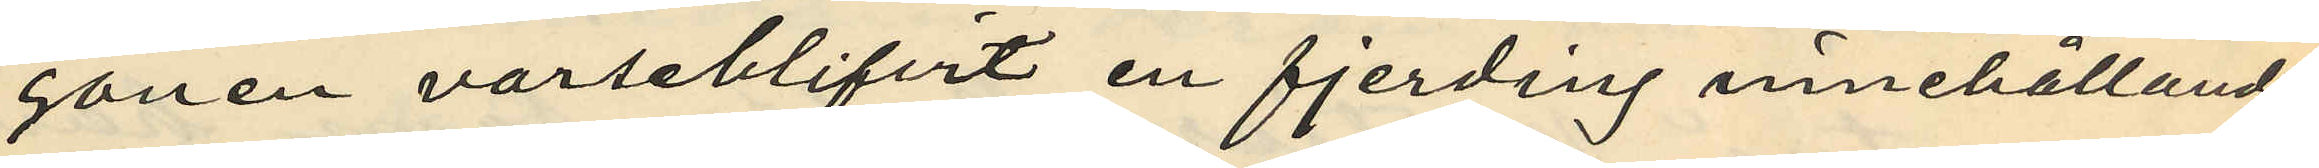gonen varseblifvit en fjerding innehållande
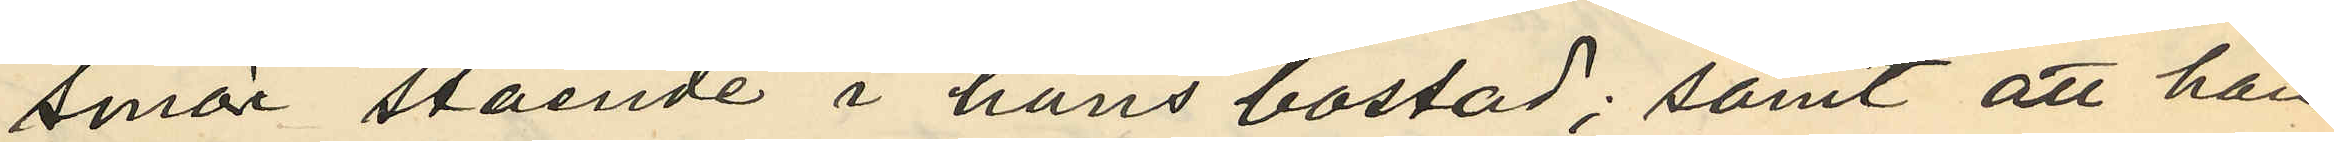smör stående i hans bostad; samt att han
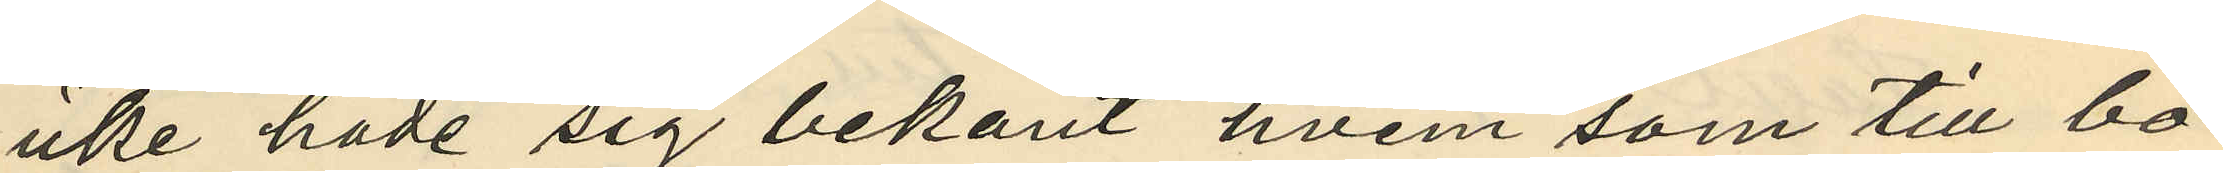icke hade sig bekant hvem som till bo¬
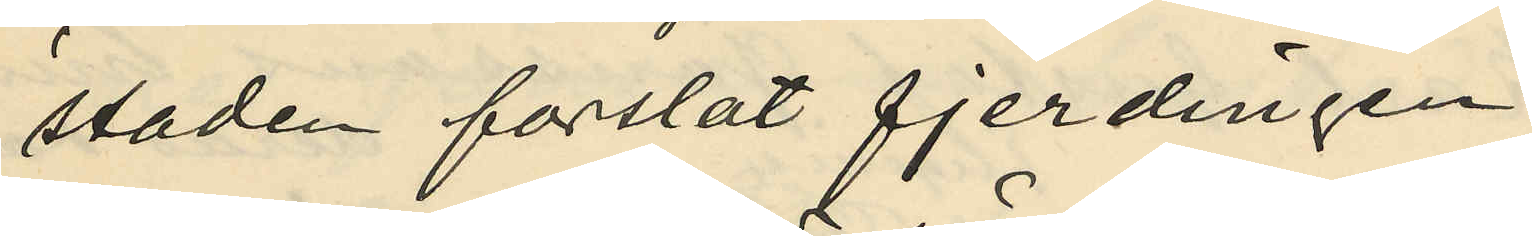staden forslat fjerdingen
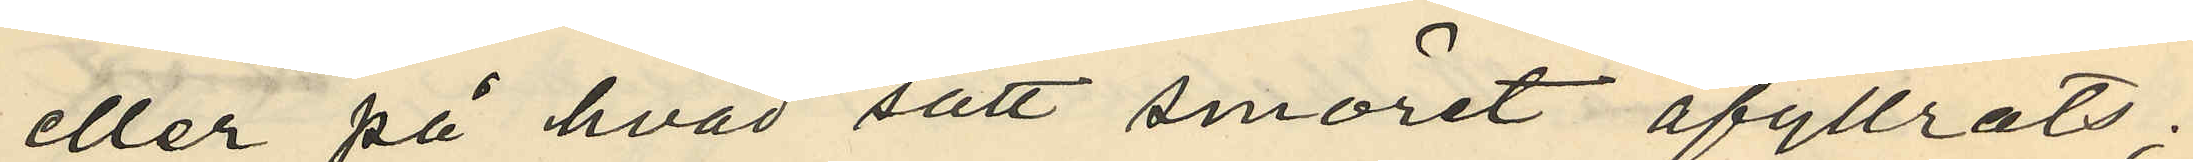eller på hvad sätt smöret afyttrats;
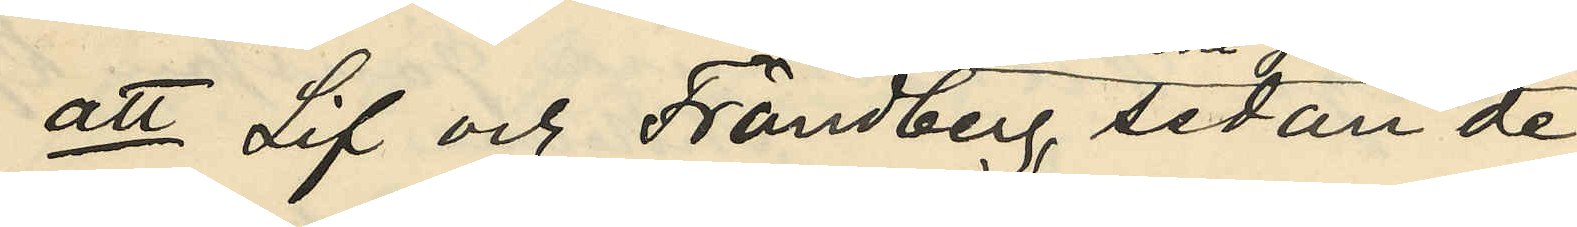att Lif och Frändberg, sedan de
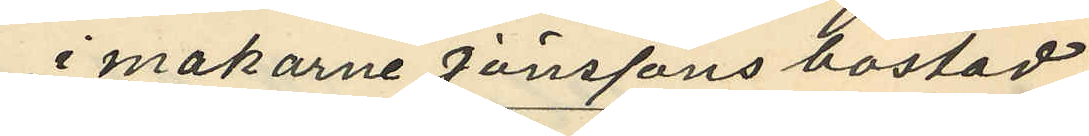i makarne Jönssons bostad
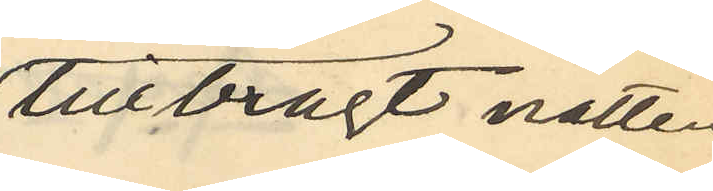tillbragt natten
